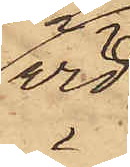vid
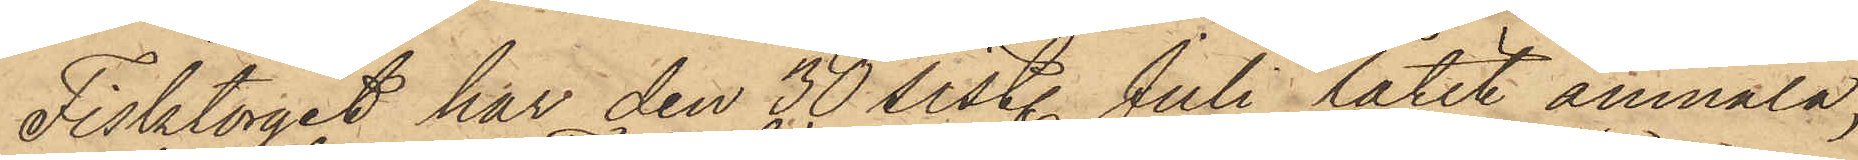Fisktorget har den 30 sistl. Juli låtit anmäla,
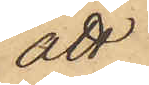att
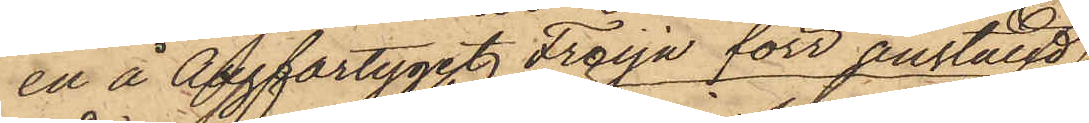en å Ångfartyget Freija förr anställd
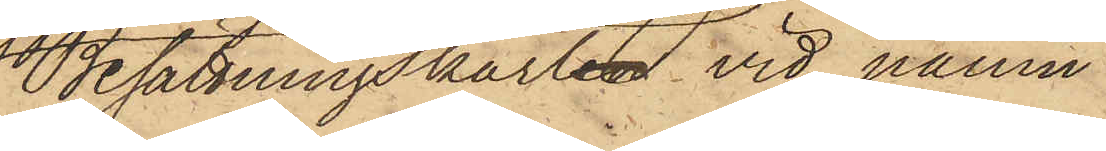Besättningskarlen vid namn
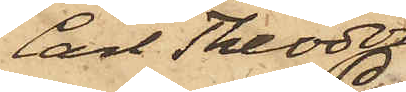Carl Theodor
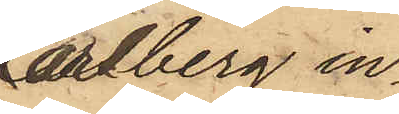Carlberg in¬
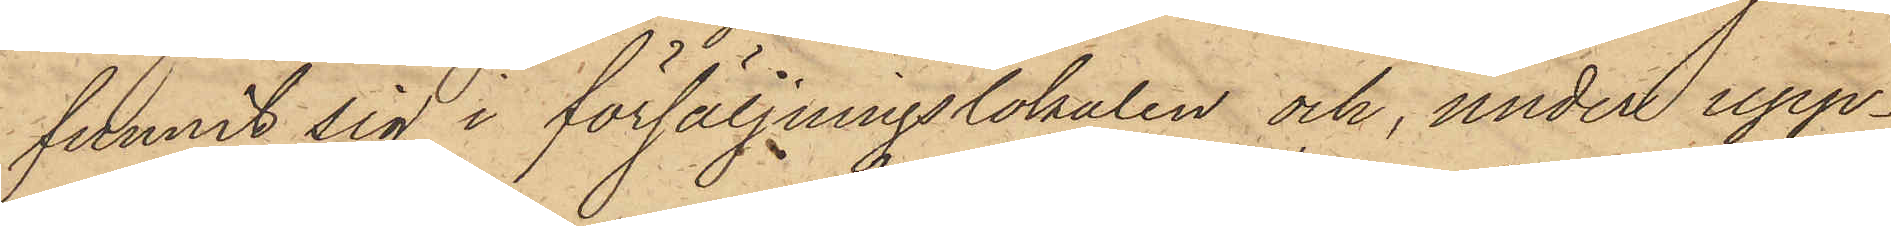funnit sig i försäljningslokalen och, under upp¬
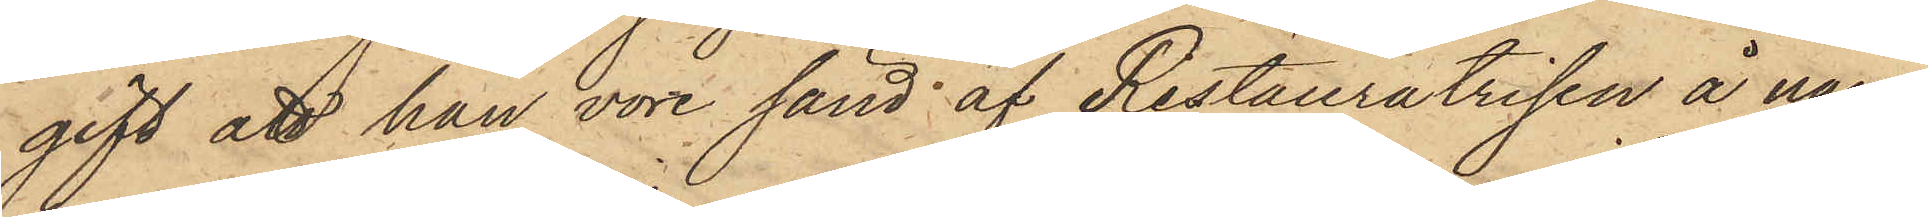gift att han vore sänd af Restauratrisen å namn¬
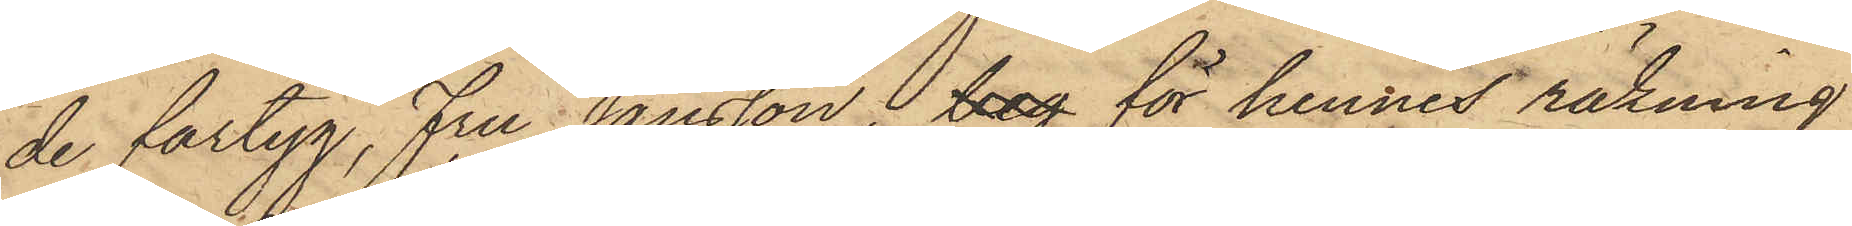de fartyg, Fru Jansson, beg för hennes räkning
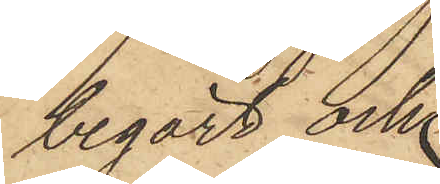begärt och
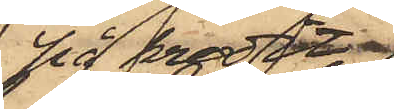på kredit
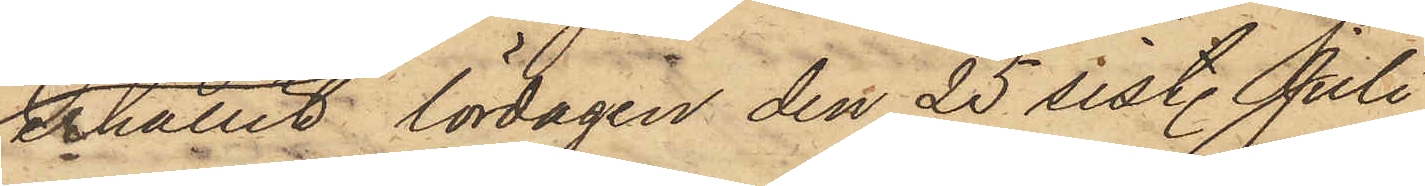erhållit lördagen den 25 sistl. Juli
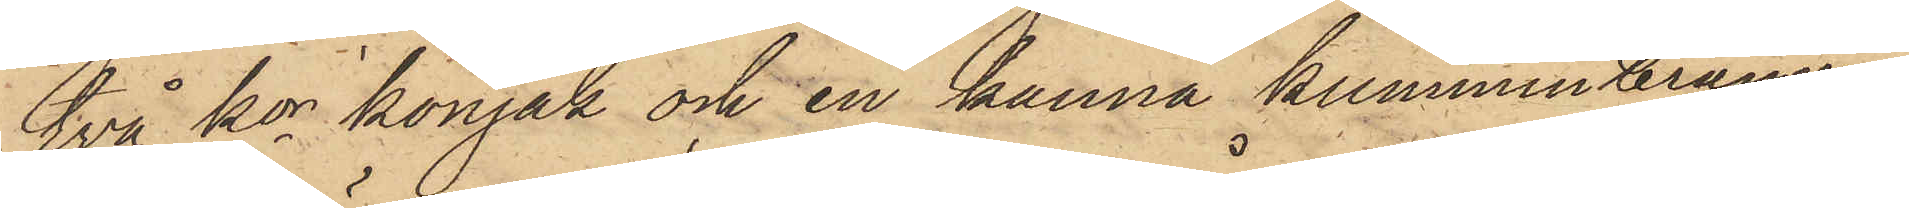två kor konjak och en kanna kumminbränvin
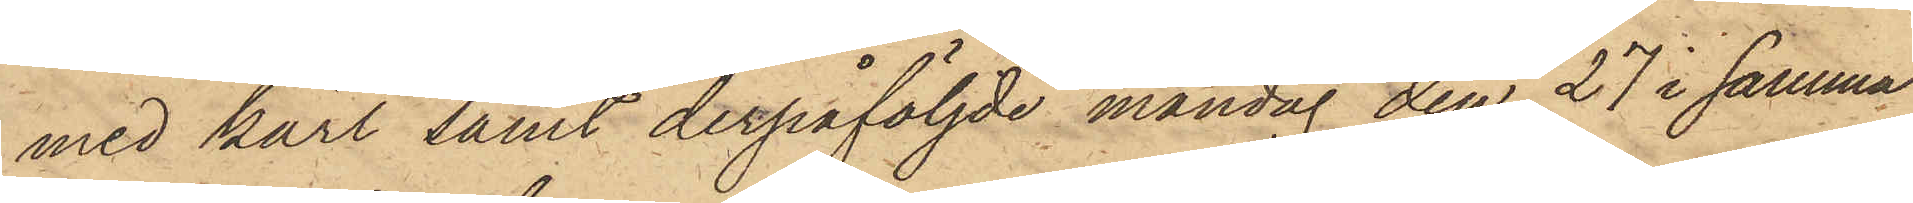med kärl samt derpåföljde måndag den 27 i samma
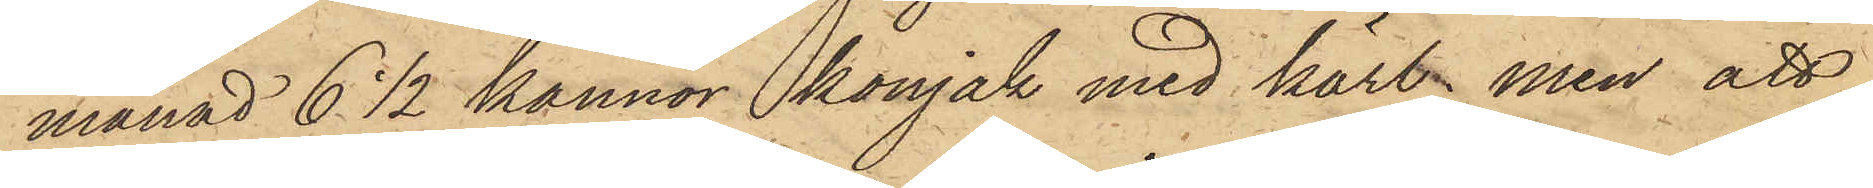månad 6 1/2 kannor konjak med kärl, men att,
